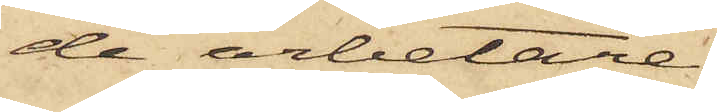de arbetare
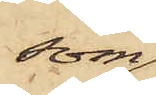som
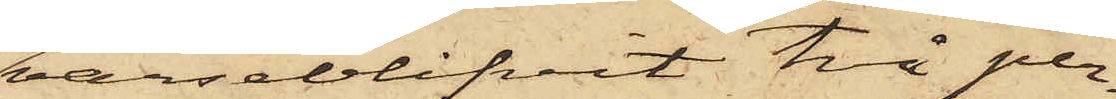varseblifvit två per¬
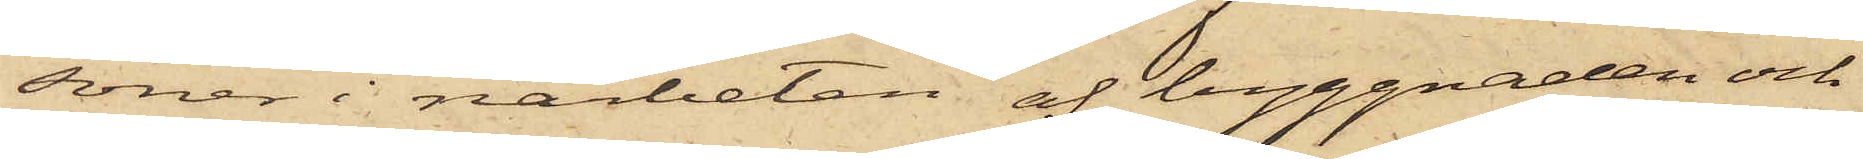soner i närheten af byggnaden och
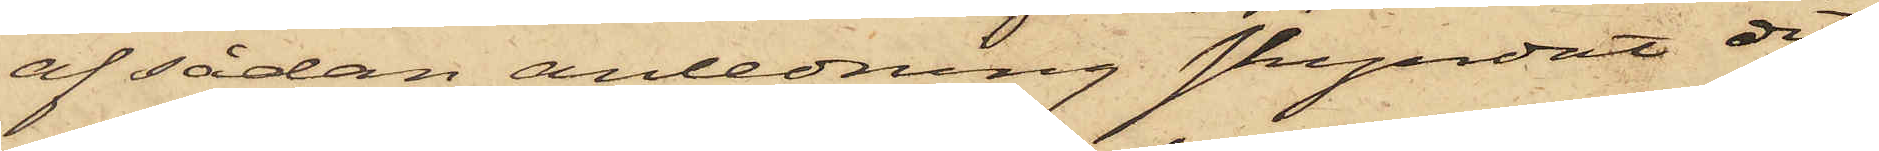af sådan anledning skyndat dit,
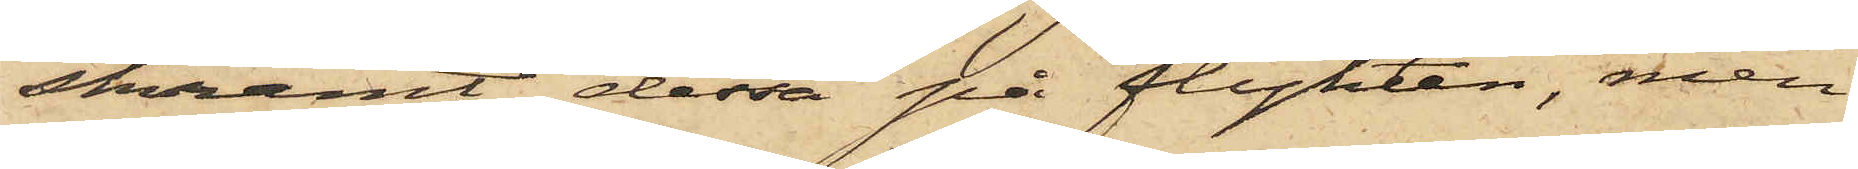skrämt dessa på flykten, men
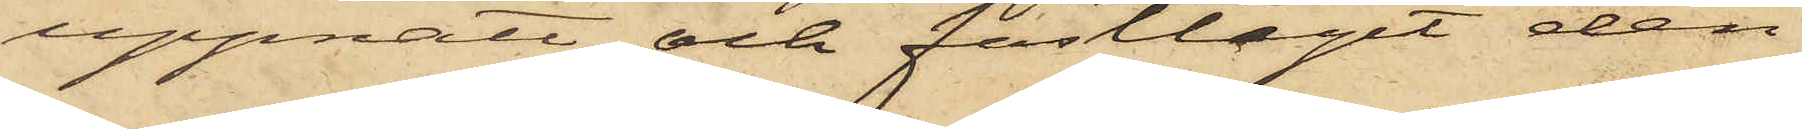uppnått och fasttagit den
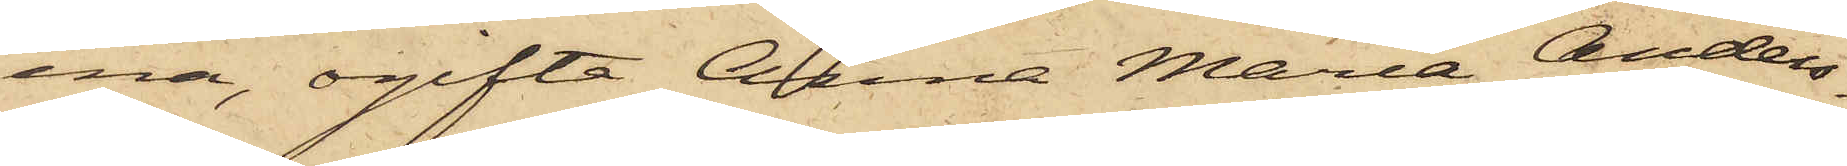ena, ogifta Anna Maria Anders¬
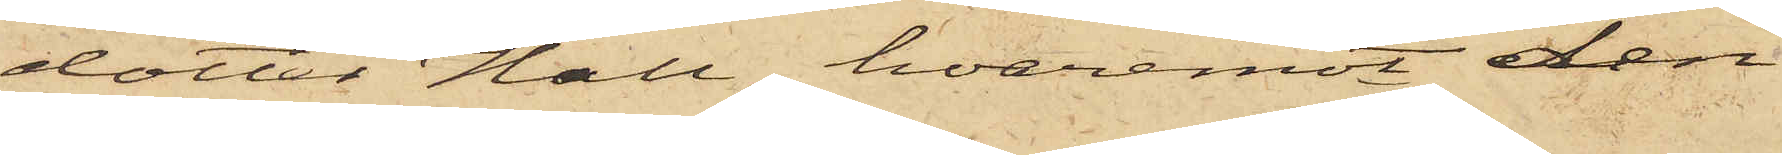dotter Hall, hvaremot den
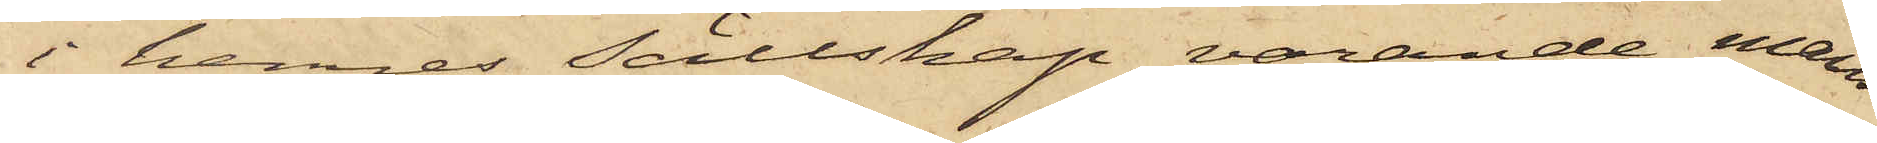i hennes sällskap varande mans¬
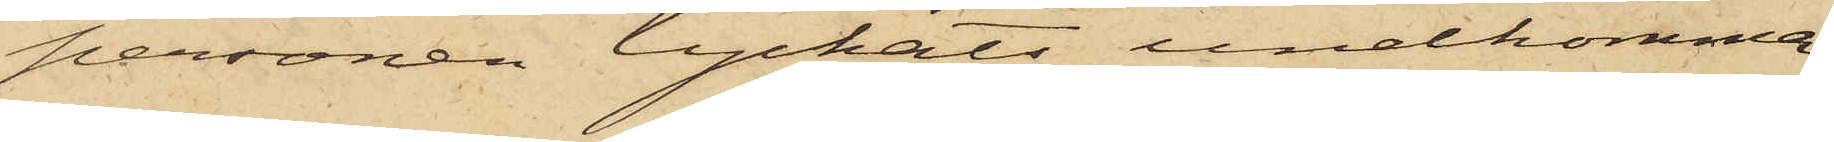personen lyckats undkomma;
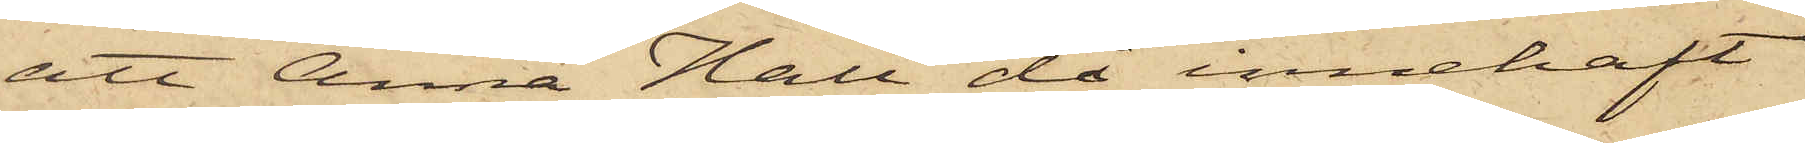att Anna Hall då innehaft
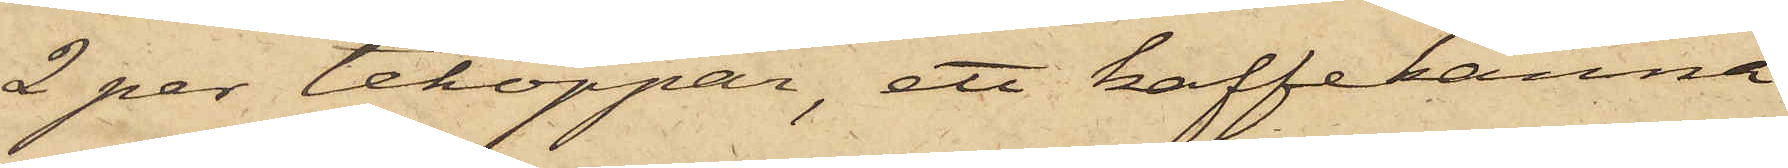2 par tekoppar, ett kaffekanna
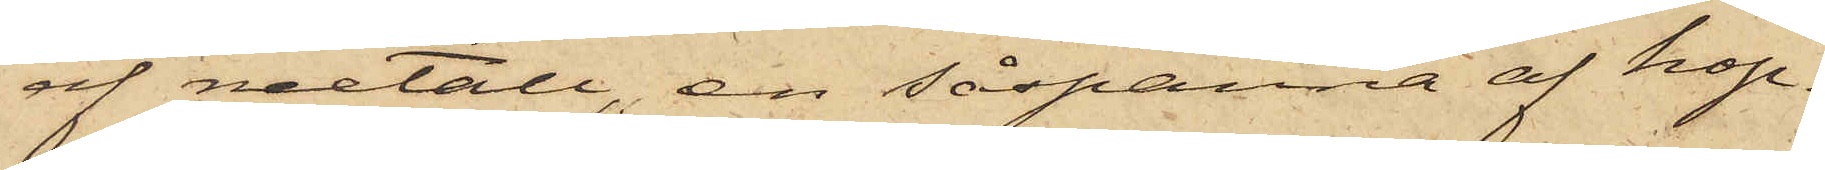af metall, en såspanna af kop¬
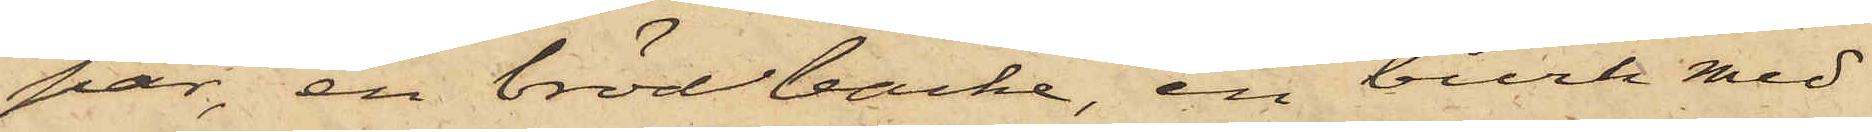par, en brödbacke, en burk med
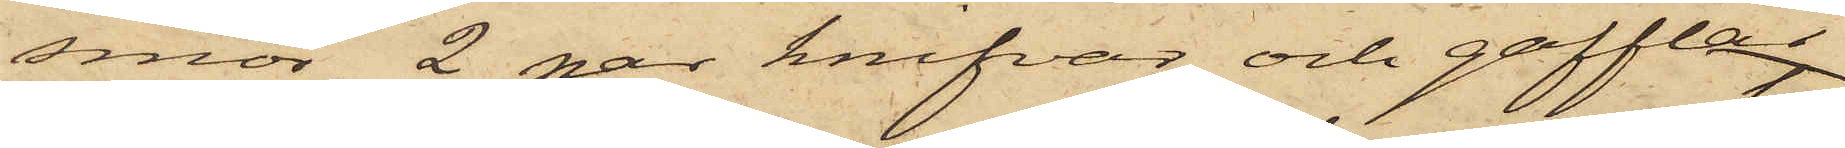smör, 2 par knifvar och gafflar
